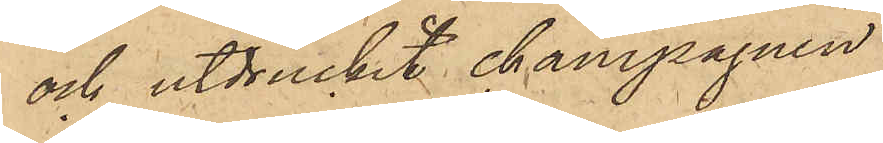och utdruckit champagnen
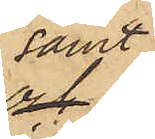samt
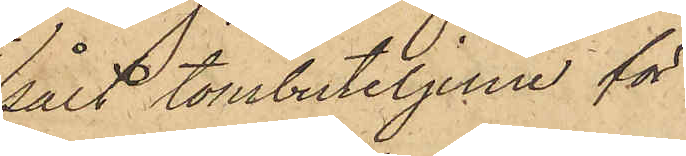sålt tombuteljerne för
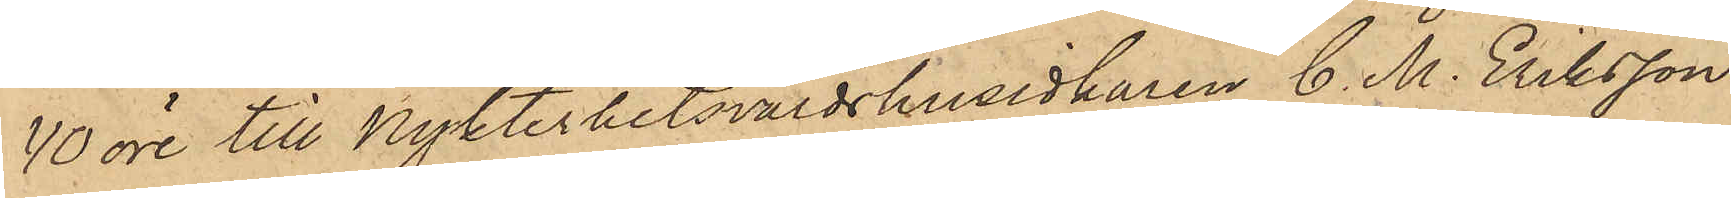40 öre till Nykterhetsvärdshusidkaren C. M. Eriksson
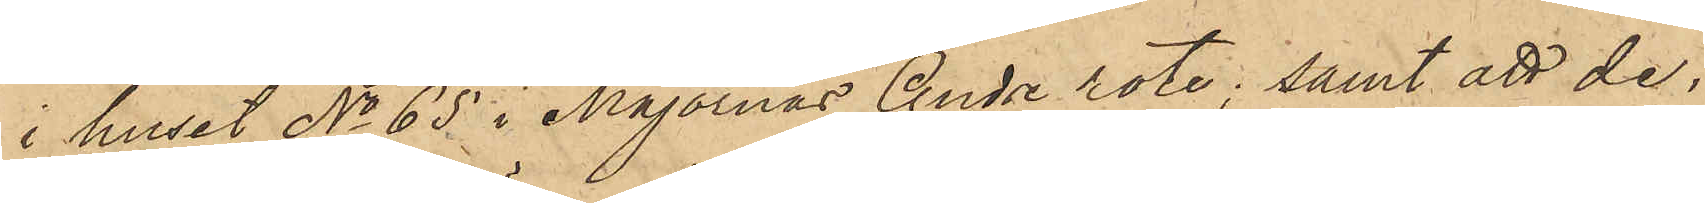i huset No 65 i Majornas Andre rote; samt att de,
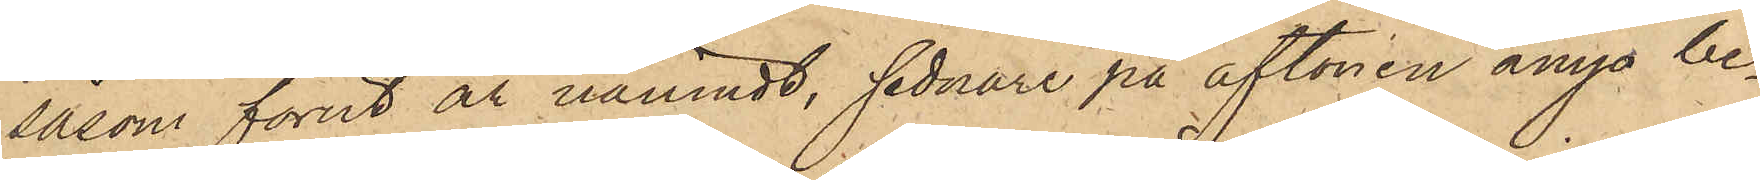såsom förut är nämndt, sednare på aftonen ånyo be¬
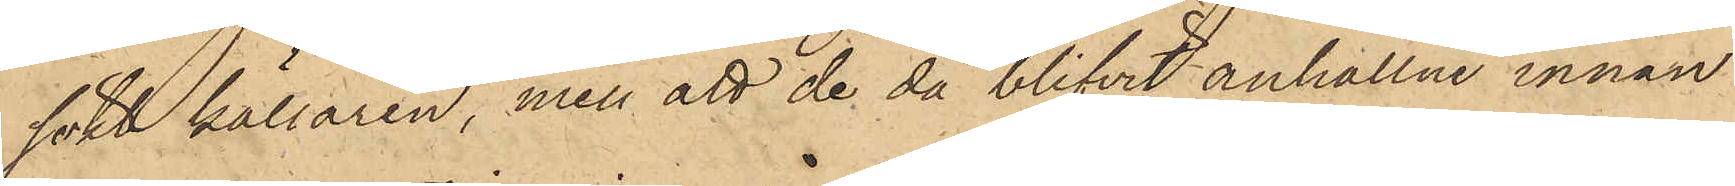sökt källaren, men att de då blifvit anhållne innan
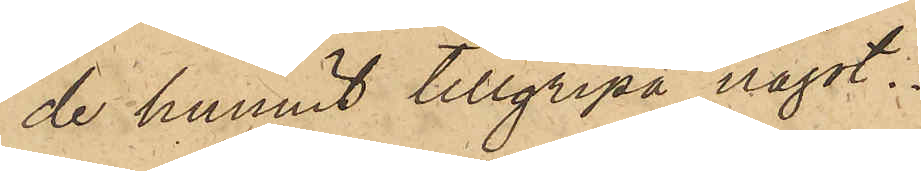de hunnit tillgripa något.
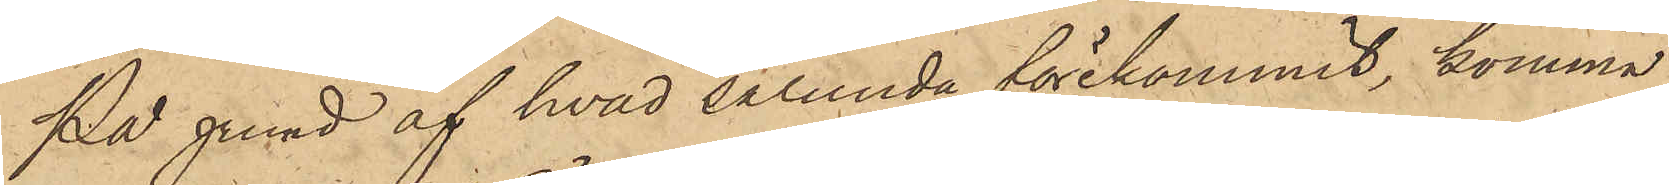På grund af hvad sålunda förekommit, komma
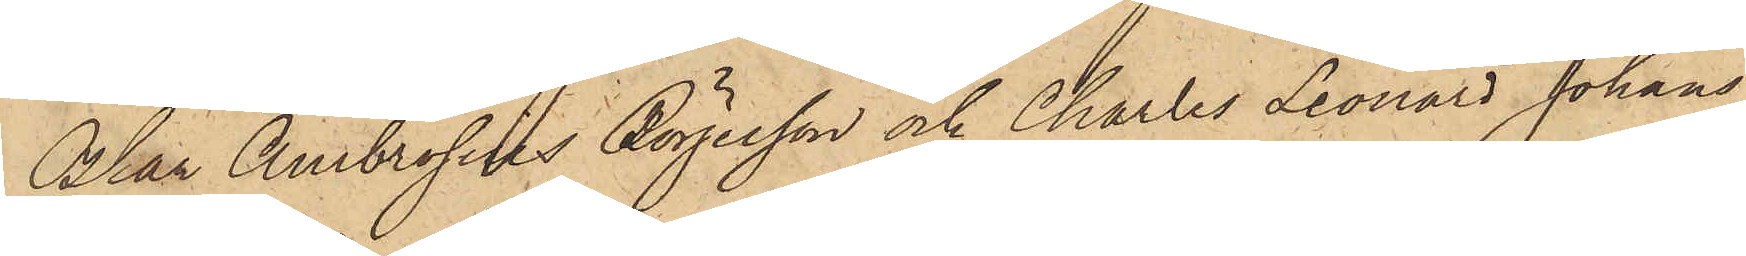Oskar Ambrosius Börjesson och Charles Leonard Johans¬
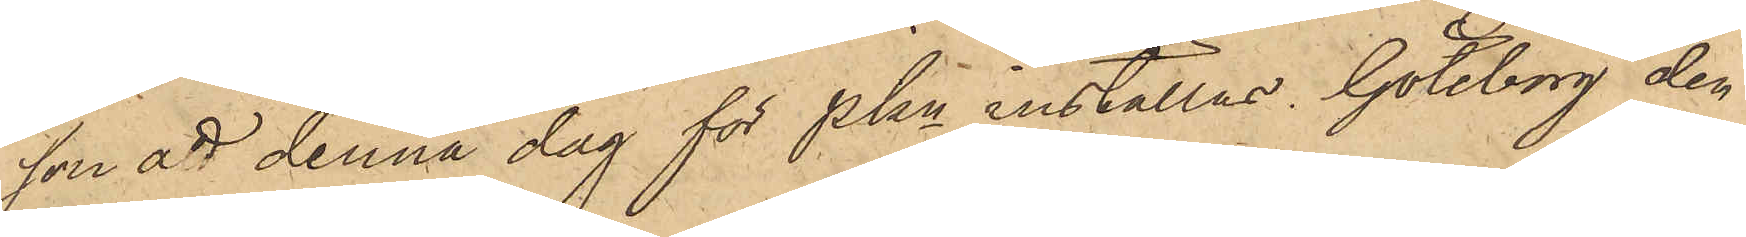son att denna dag för Pkn inställas. Göteborg den
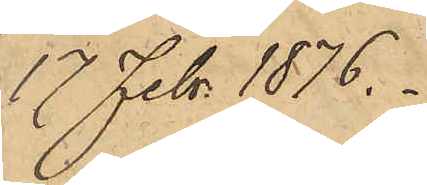17 Febr 1876.
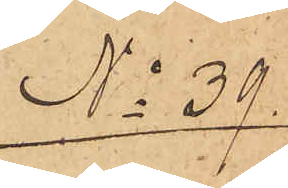No 39.
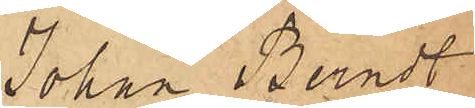Johan Berndt
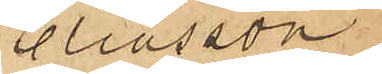Eliasson
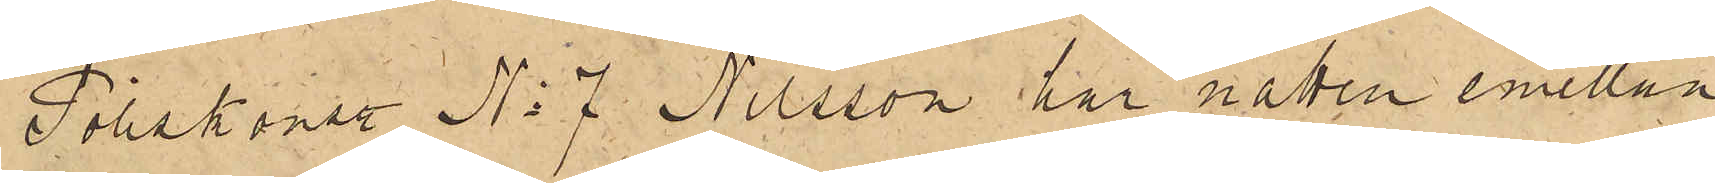Poliskonstl No 7 Nilsson har natten emellan
